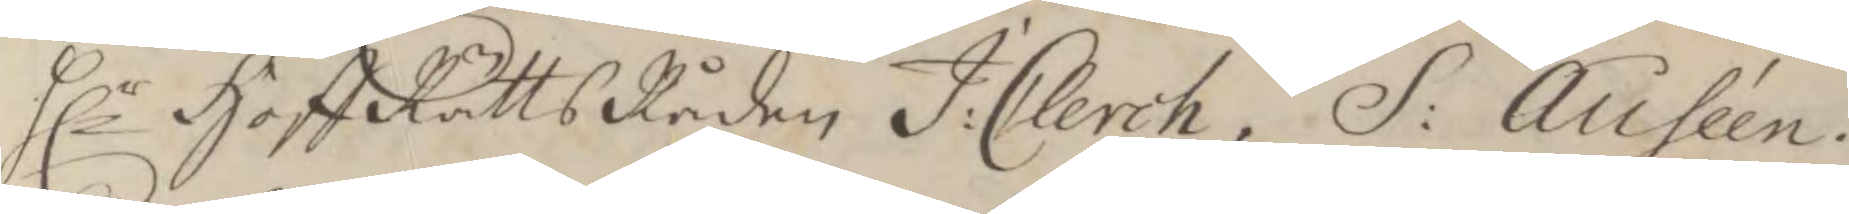Hlr HoffRättsRåden J: Clerch, S: Auséen.
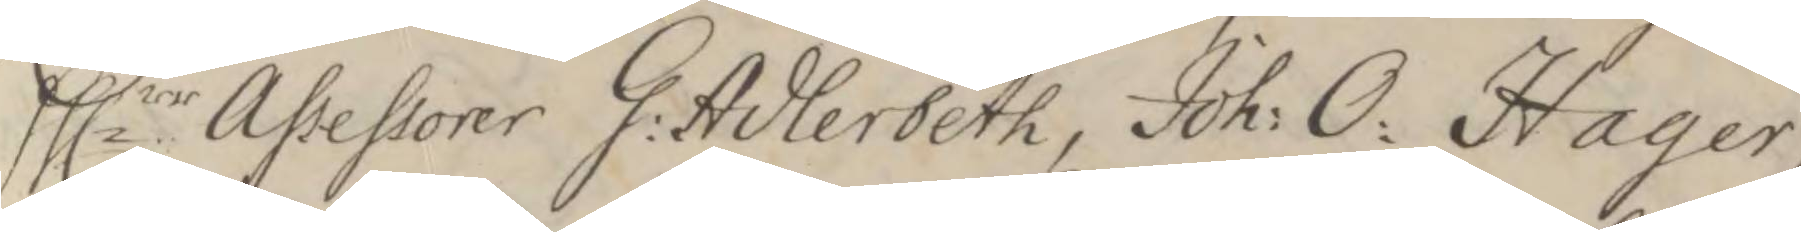Hllrr Assessorer G: Adlerbeth, Joh: O: Hager
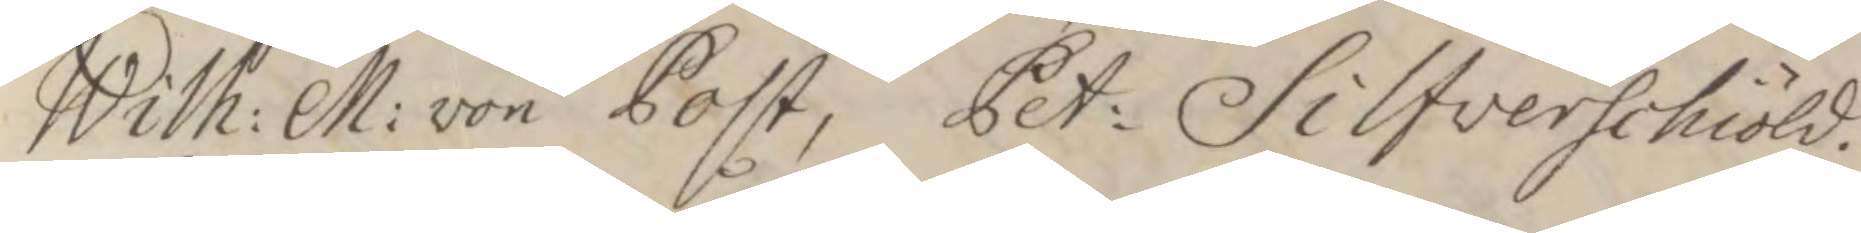Wilh: M: von Post, Pet: Silfverschiöld.
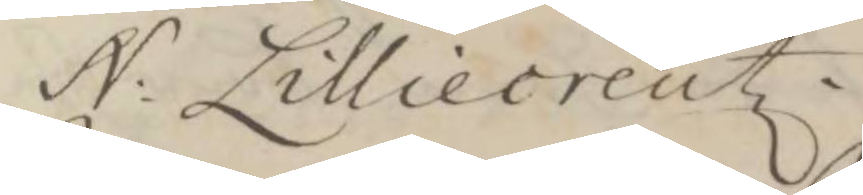N: Lilliecreutz.
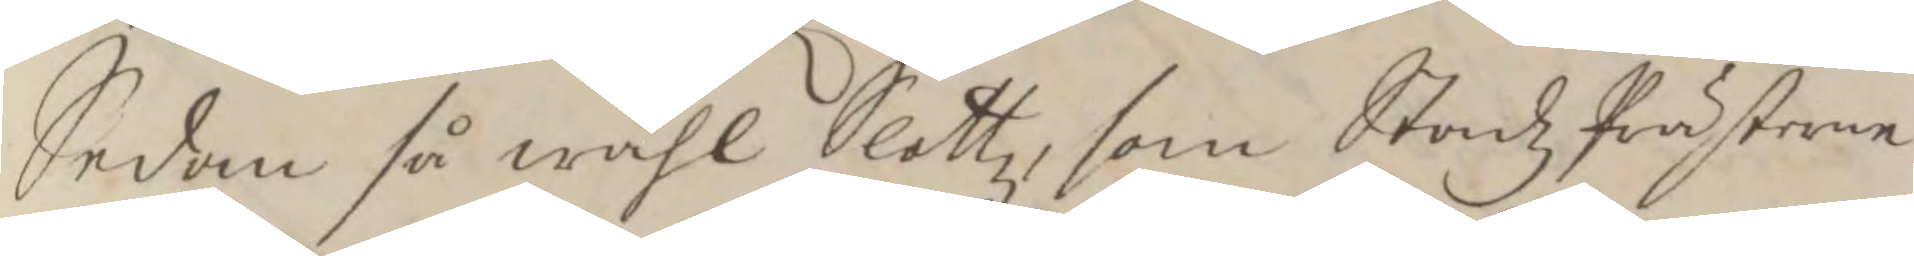Sedan så wähl Slottz, som StadzPrästerne
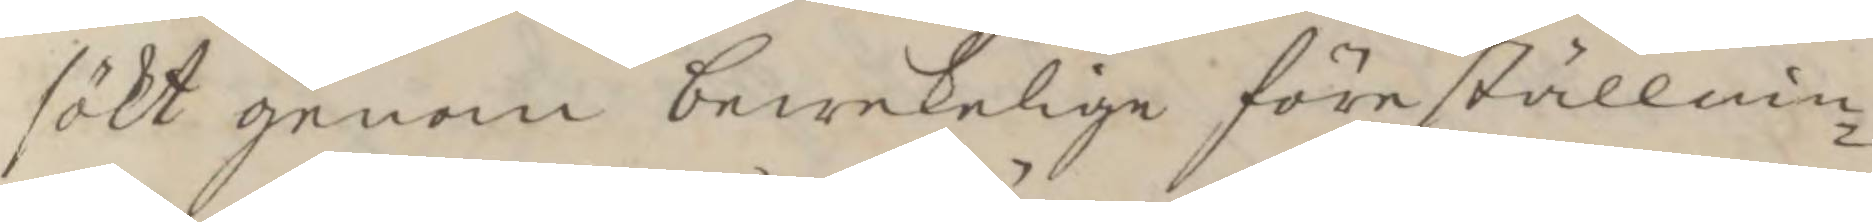sökt genom bewekelige föreställnin¬
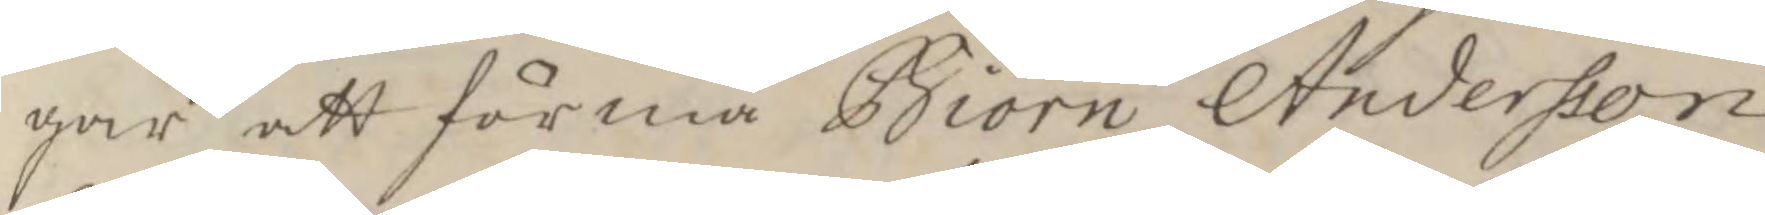gar att förmå Biörn Andersson
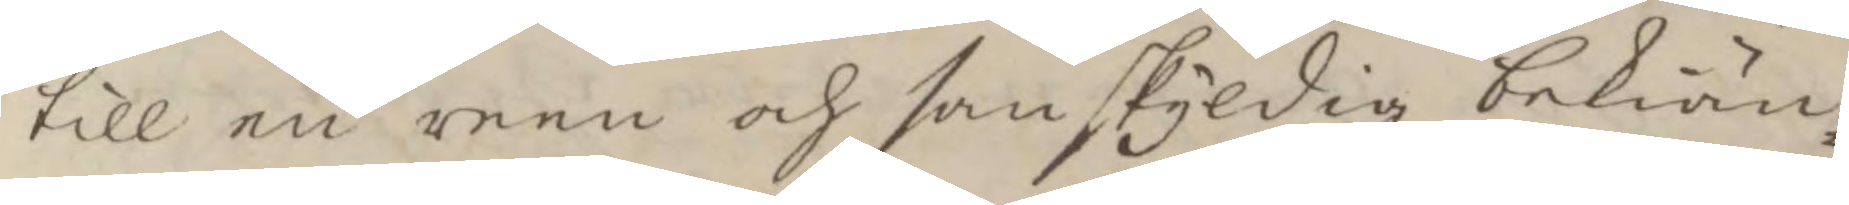till en reen och sanskyldig bekiän¬
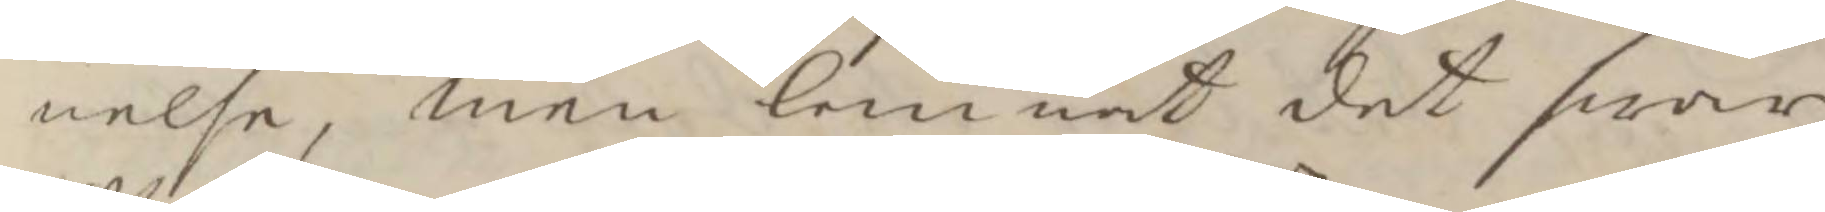nelse, men lemnat det swar
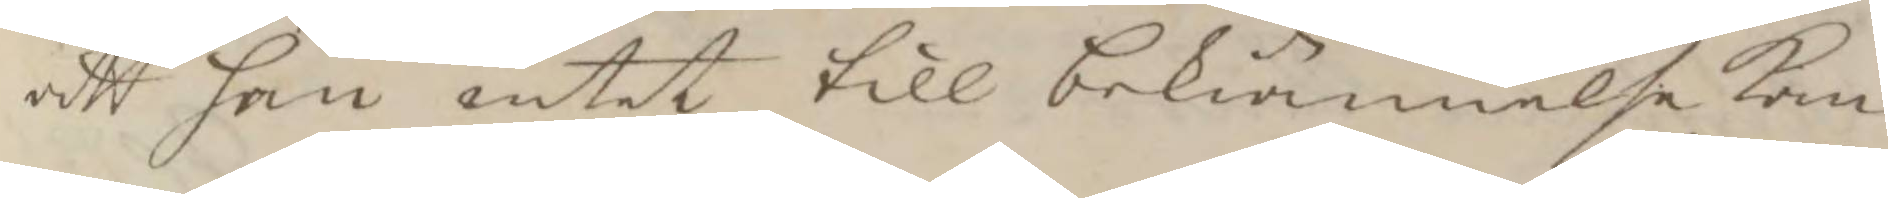att han intet till bekiännelse kan
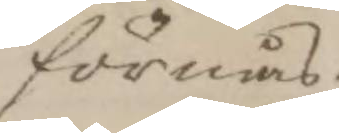förmås
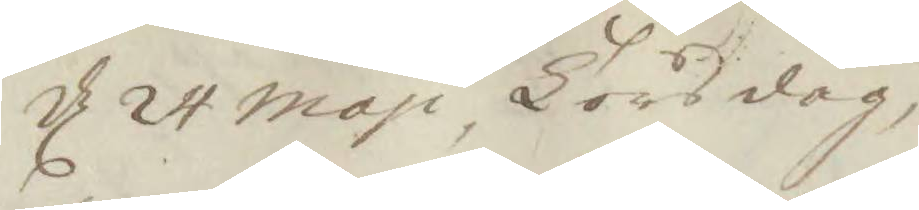d 24 maji Torsdag, 
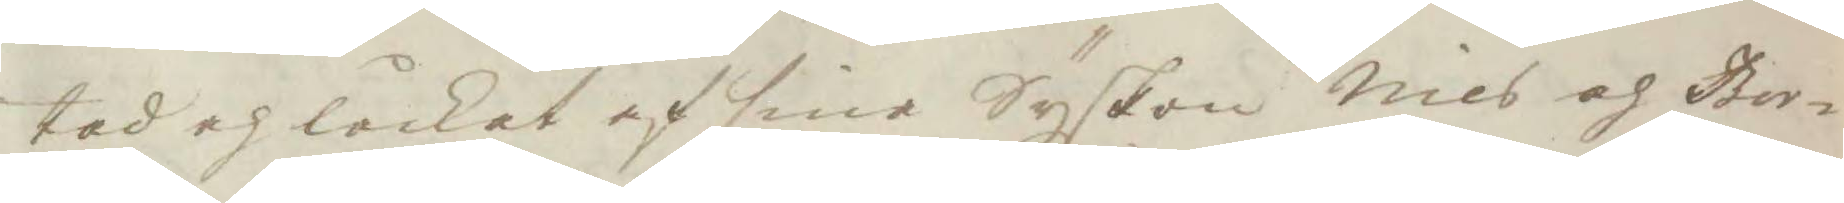tad och låckat af sina Syskon Nils och Ber¬
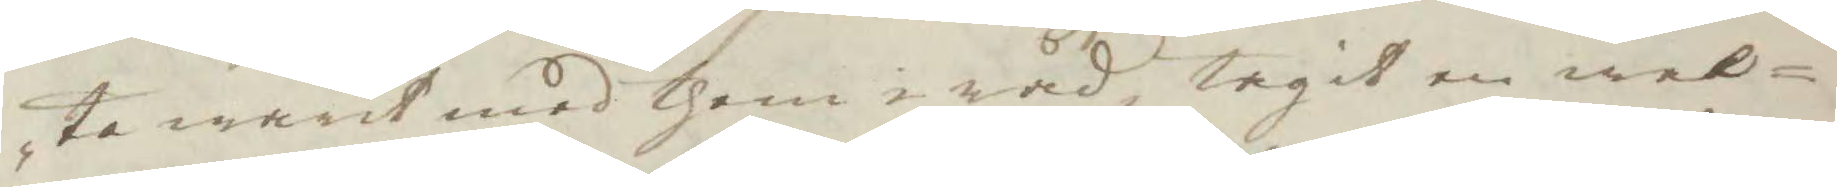ta warit med them i råd, tagit en wal¬
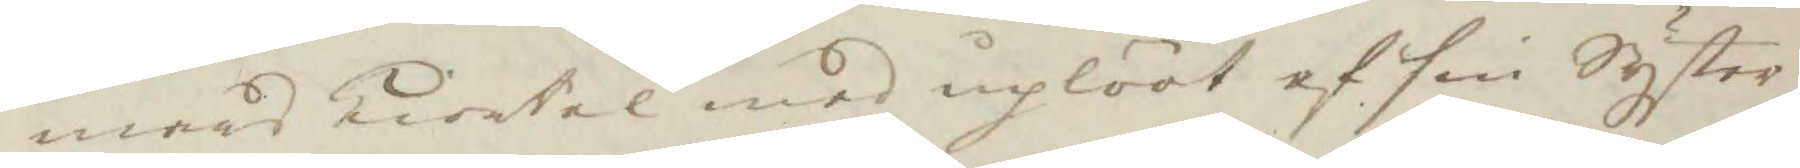mars kiortel med uplööt af sin Syster
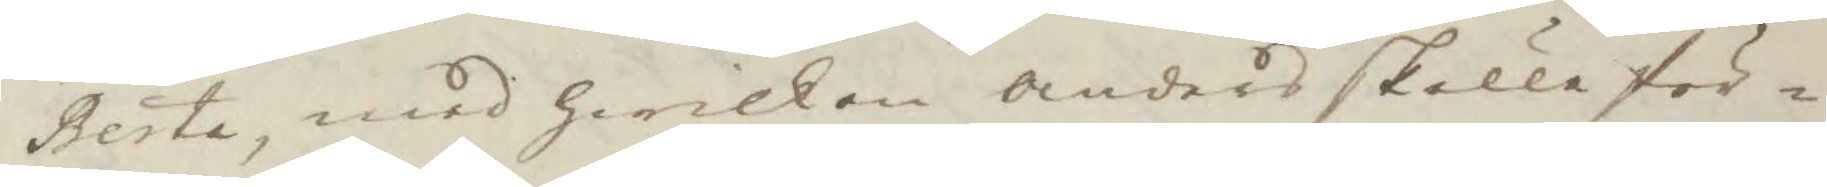Berta, med Hwilken Anders skulle för¬
